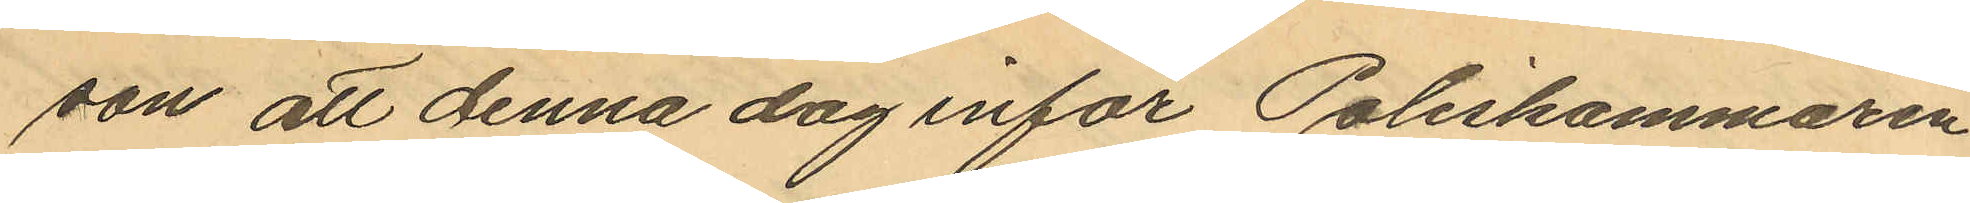son att denna dag inför Poliskammaren
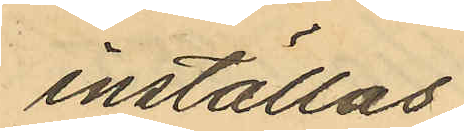inställas.
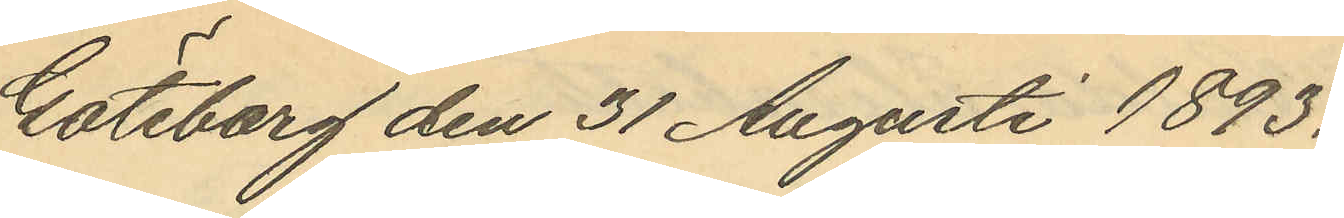Göteborg den 31 Augusti 1893.
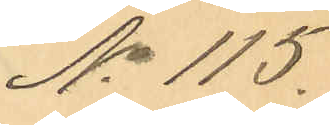No 115.
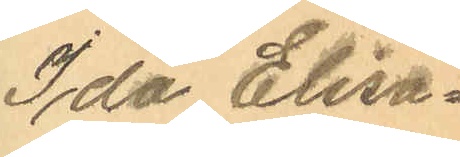Ida Elisa¬
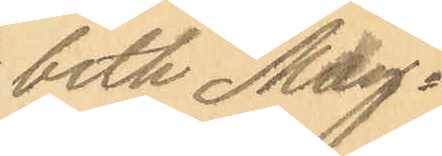beth Mag¬
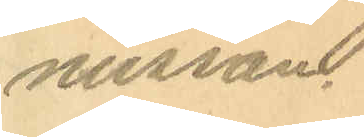nusson.
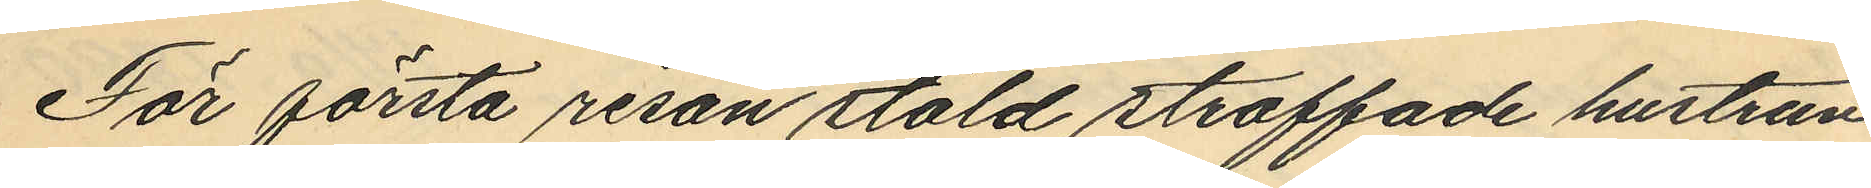För första resan stöld straffade hustrun
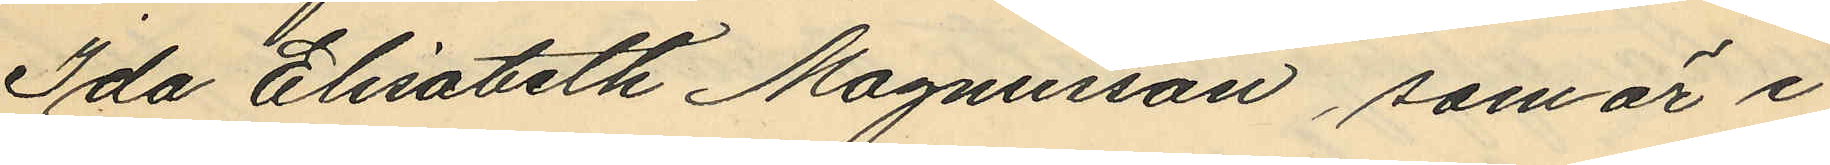Ida Elisabeth Magnusson, som är i
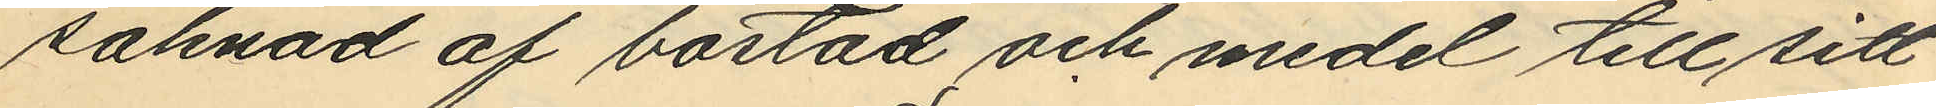saknad af bostad och medel till sitt
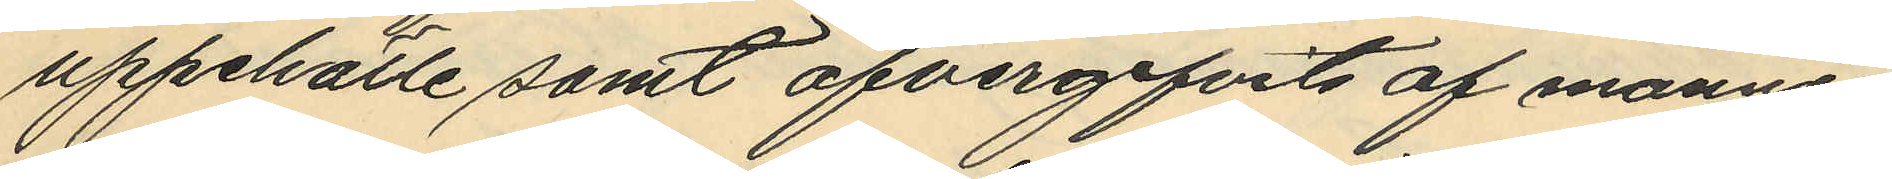uppehälle samt öfvergifvits af mannen
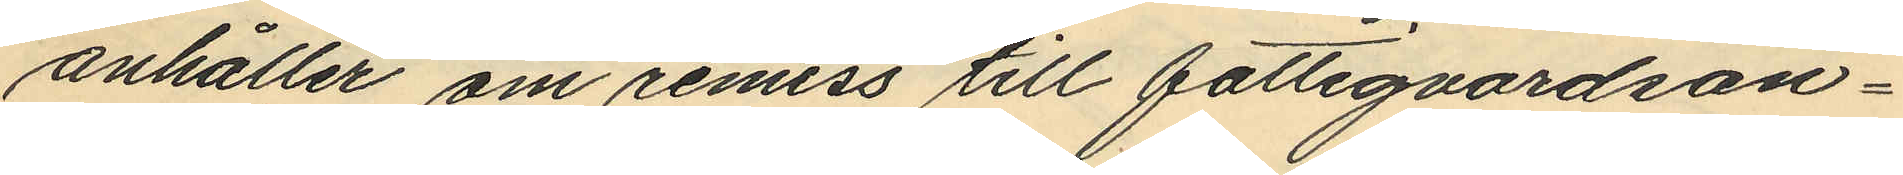anhåller om remiss till fattigvårdsan¬
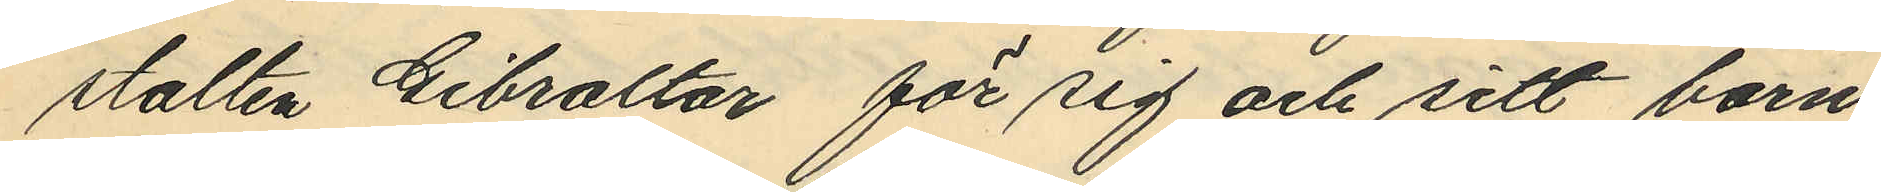stalten Gibraltar för sig och sitt barn
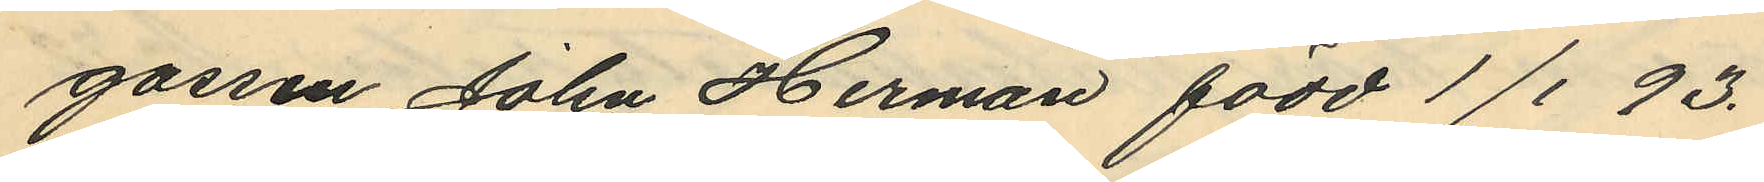gossen John Herman född 1/1 93.
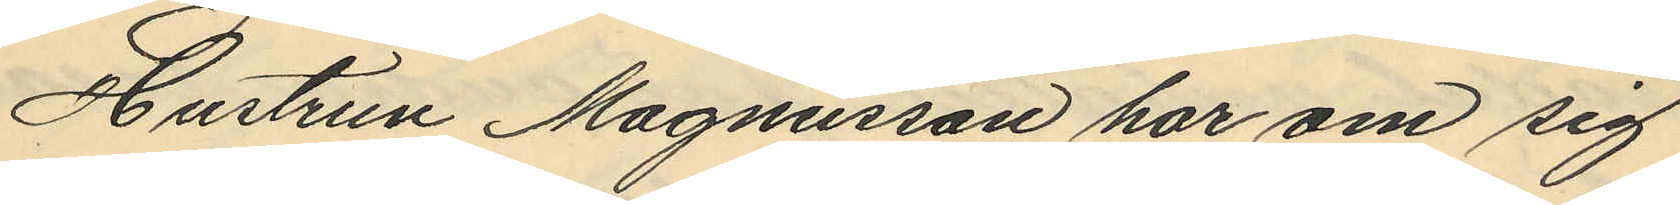Hustrun Magnusson har om sig
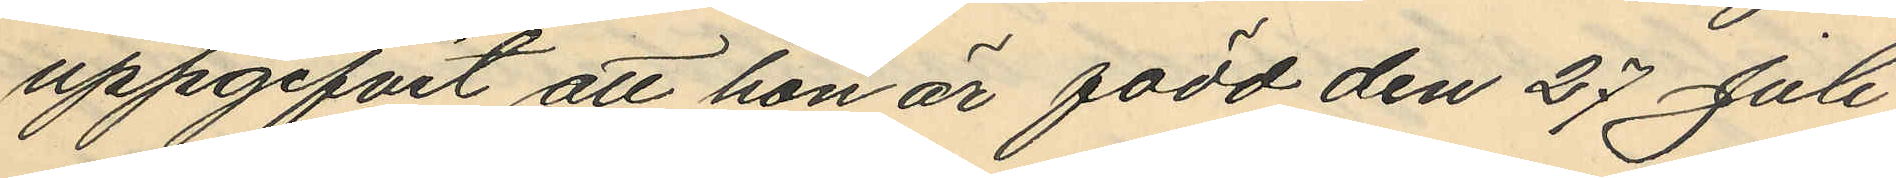uppgifvit att hon är född den 27 Juli
